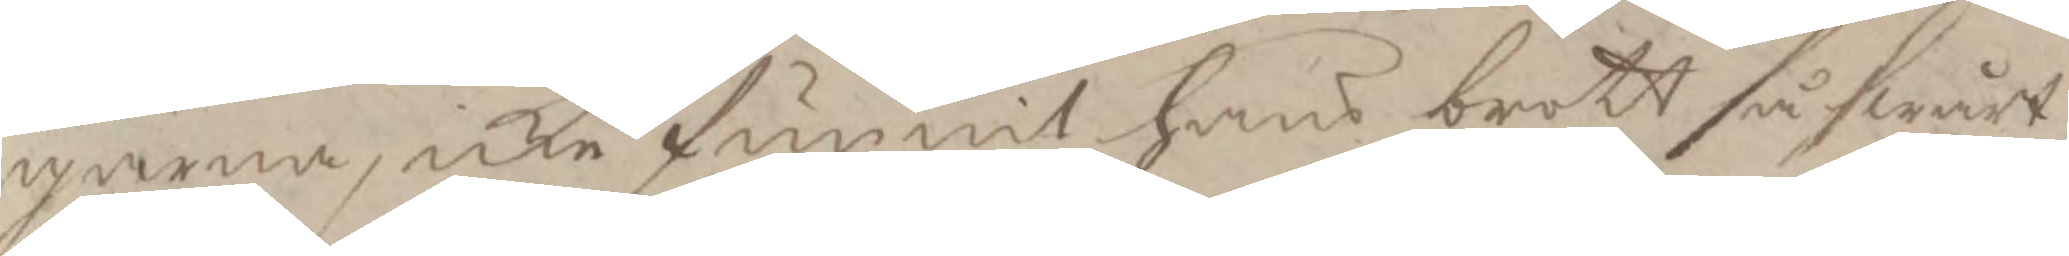garna, icke funnit hans brott så swårt
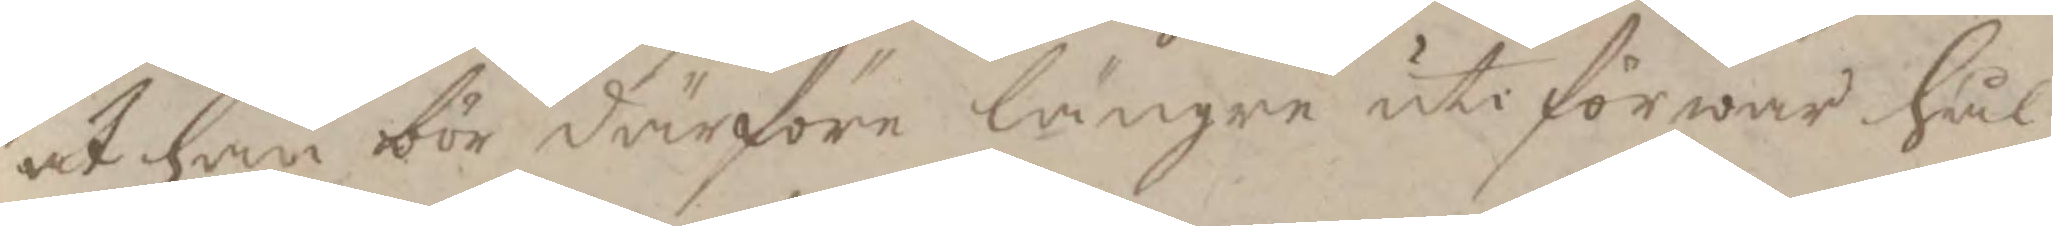at han bör därföre längre uti förwar hål¬
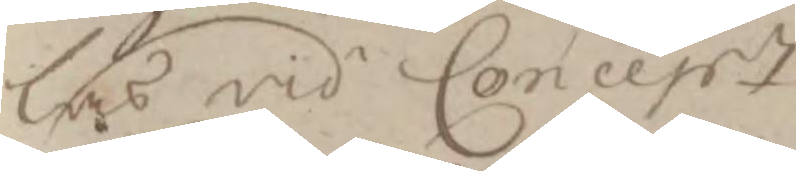las vid Concesst.
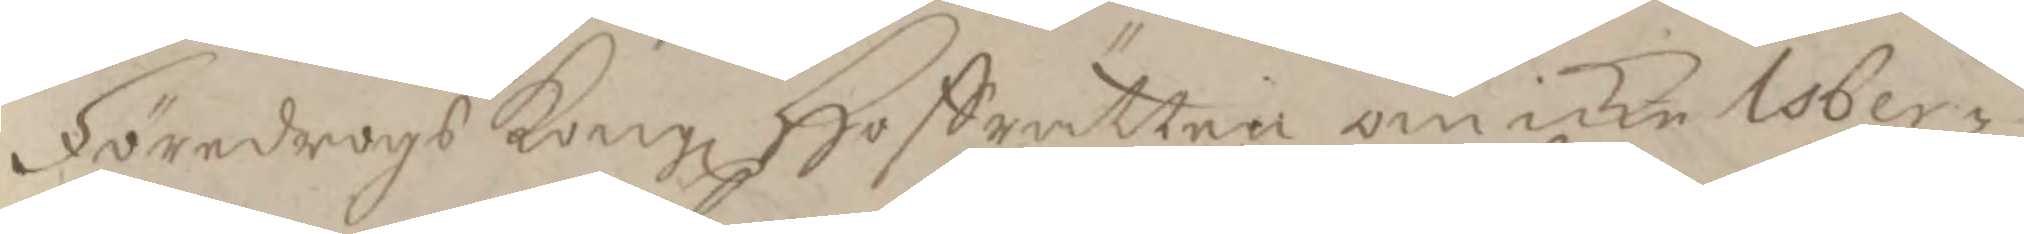Föredrogs Kongl Hoffrätten om icke Isber¬ 
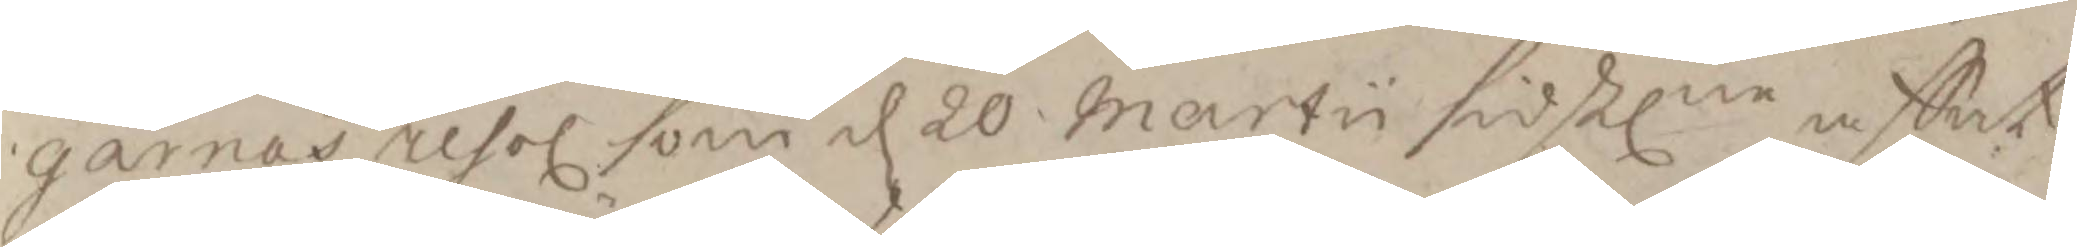garnas resol som d 20 martii sidstlne affat¬ 
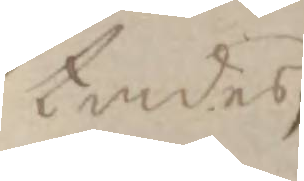tandes, 
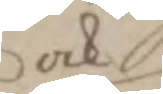ock
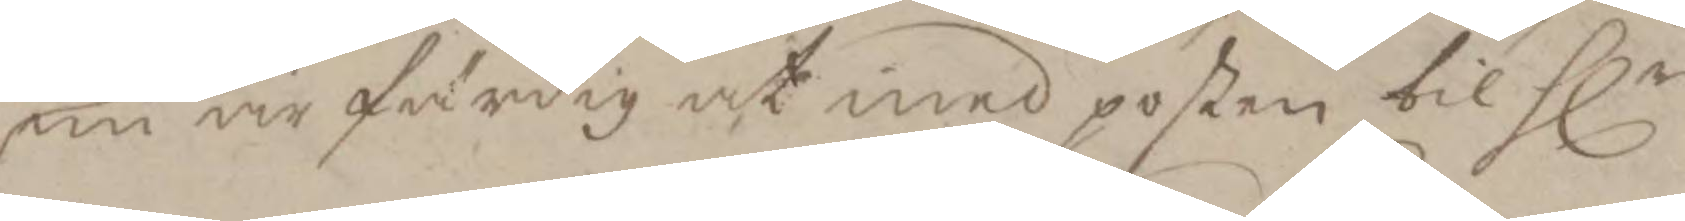nu är färdig at med posten til Hlr 
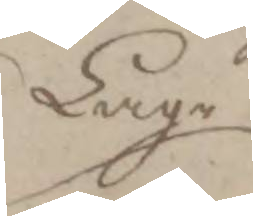Lage
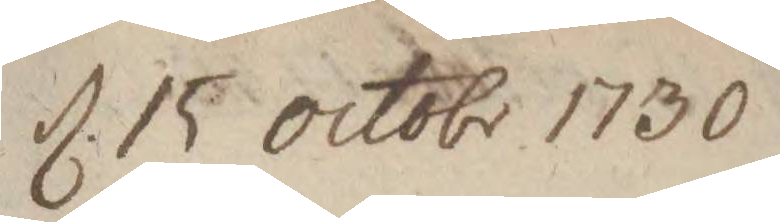d. 15 octob. 1730
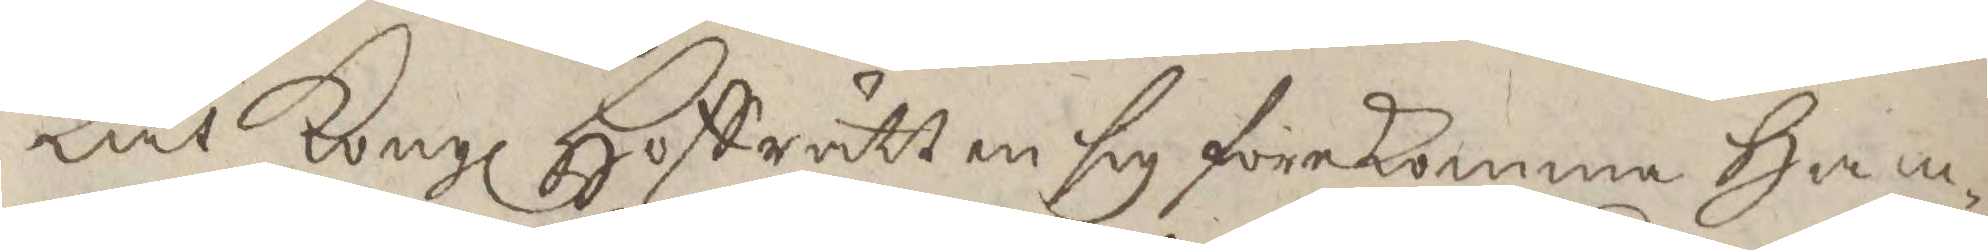Lät Kongl Hoffrätten sig förekomma Ham¬
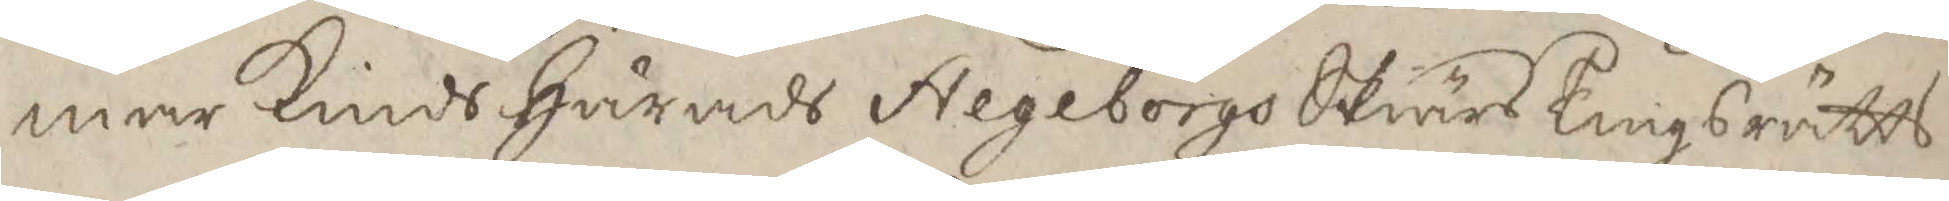mar Kinds Härads Stegeborgs Skiärs Tingsrätts
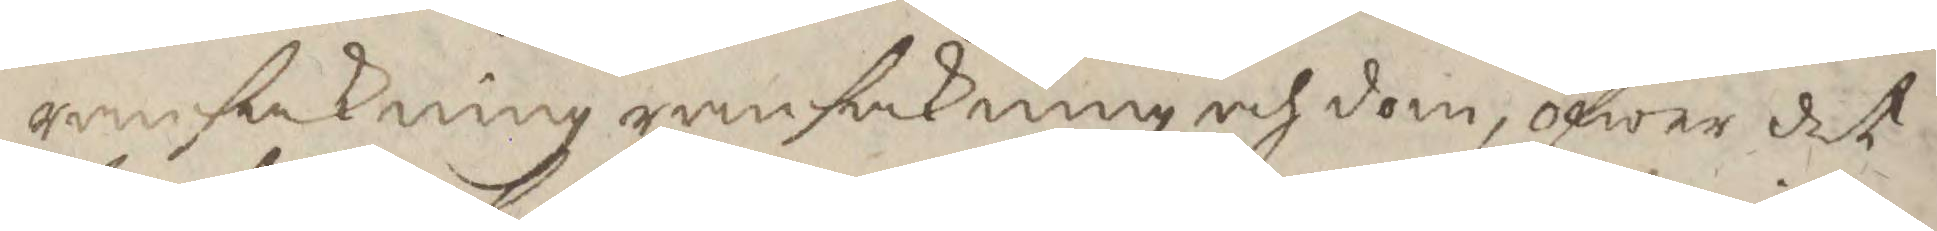ransakning ransakning och dom, öfwer det
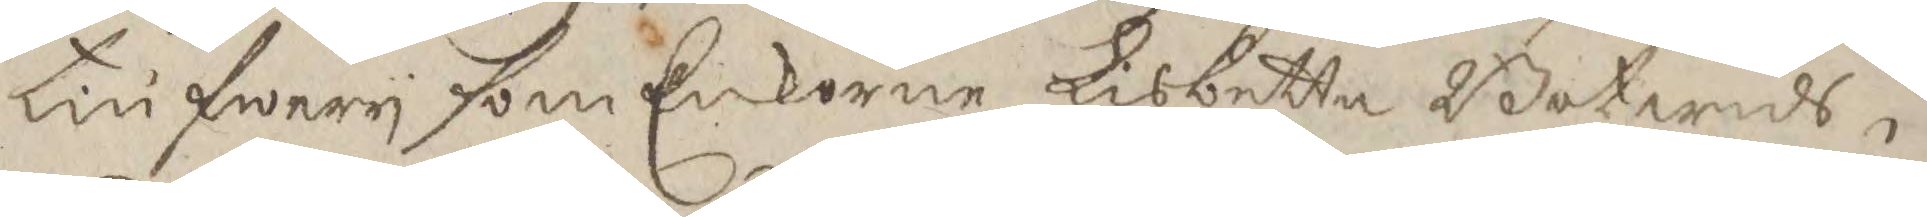Tiufwery som Enkorne Lisbetta Botwids¬
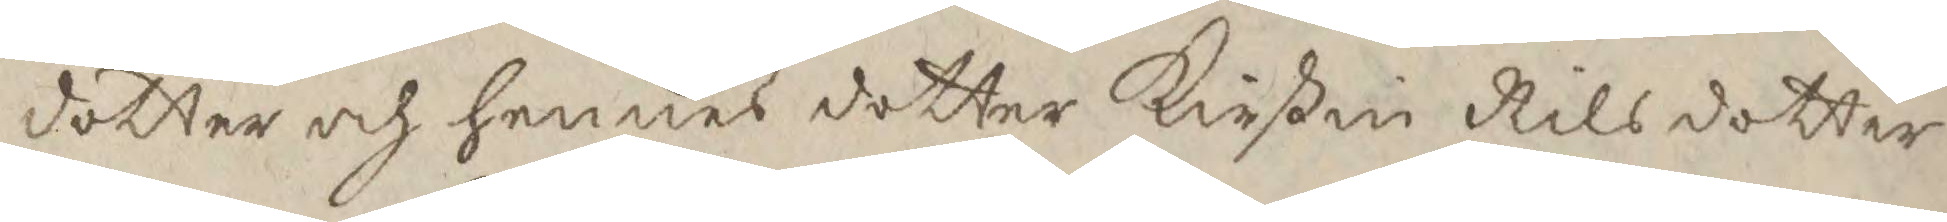dotter och hennes dotter Kirstin Nilsdotter
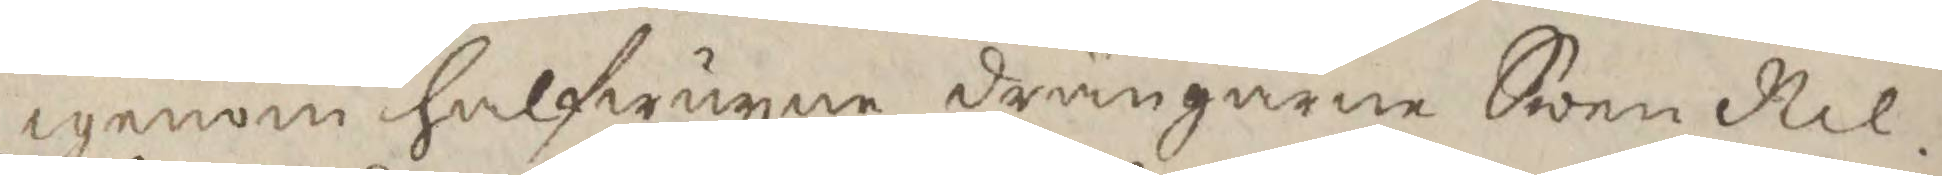igenom halfwuxna drängarne Swen Nil¬
